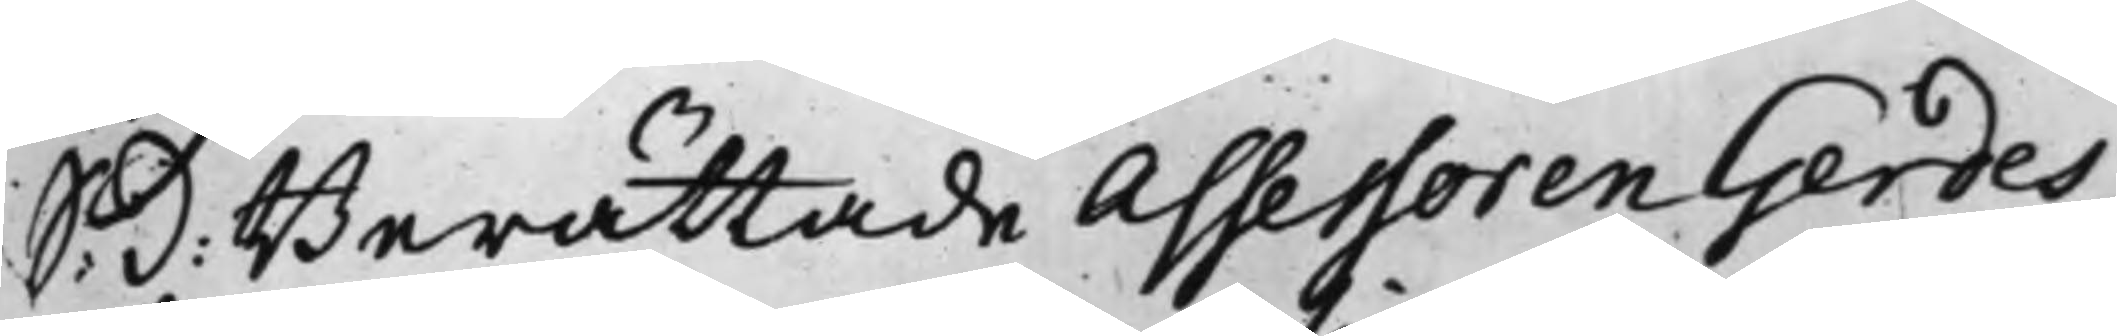S: D: Berättade Assessoren Gerdes,
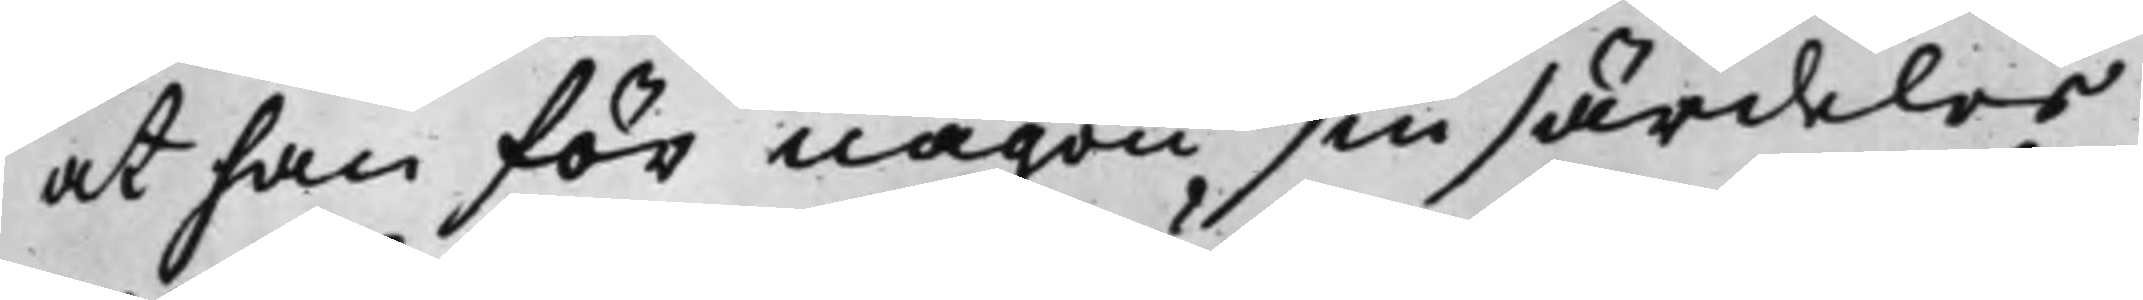at han för någon sin särdeles
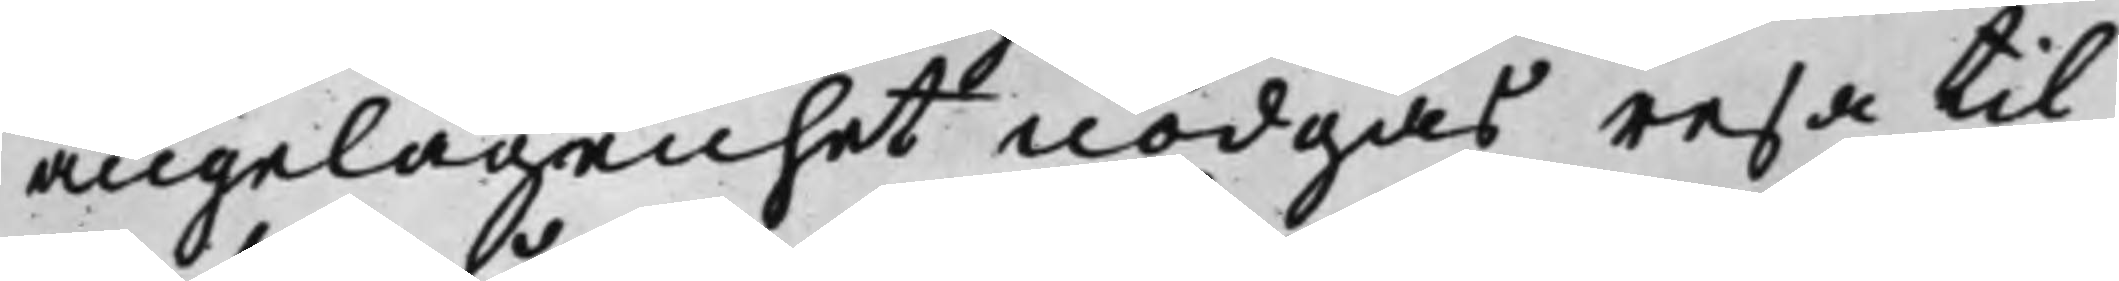angelägenhet nödgas resa til
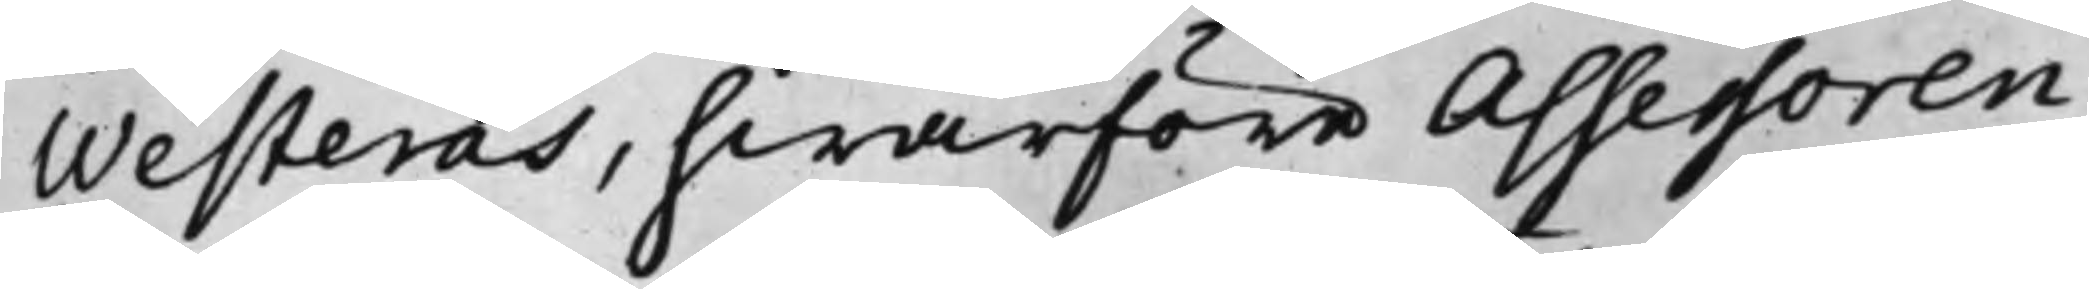Westerås, hwarföre Assessoren
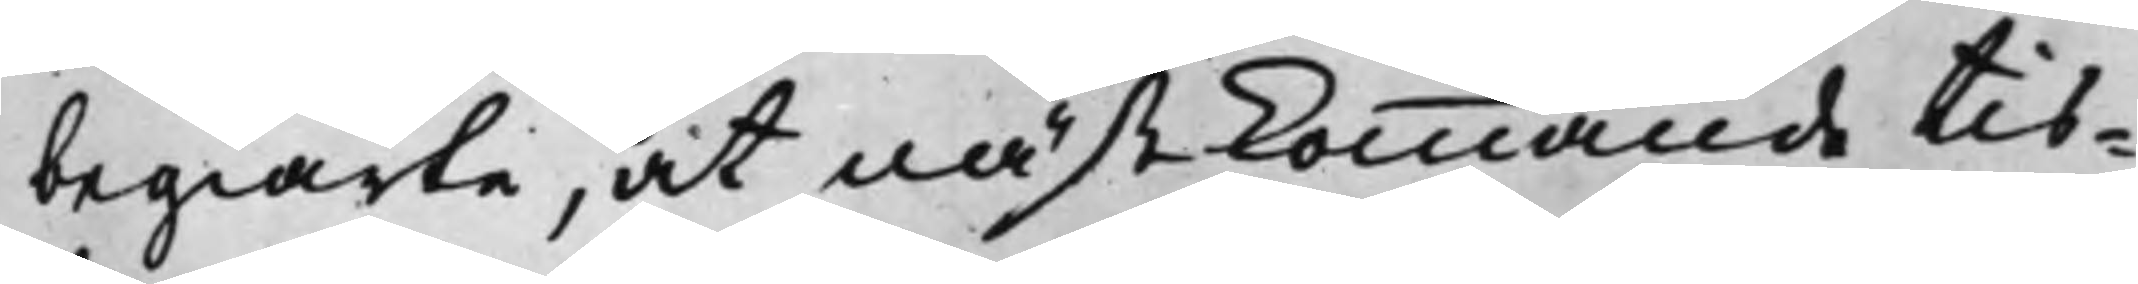begiärte, at nästkommande tis¬
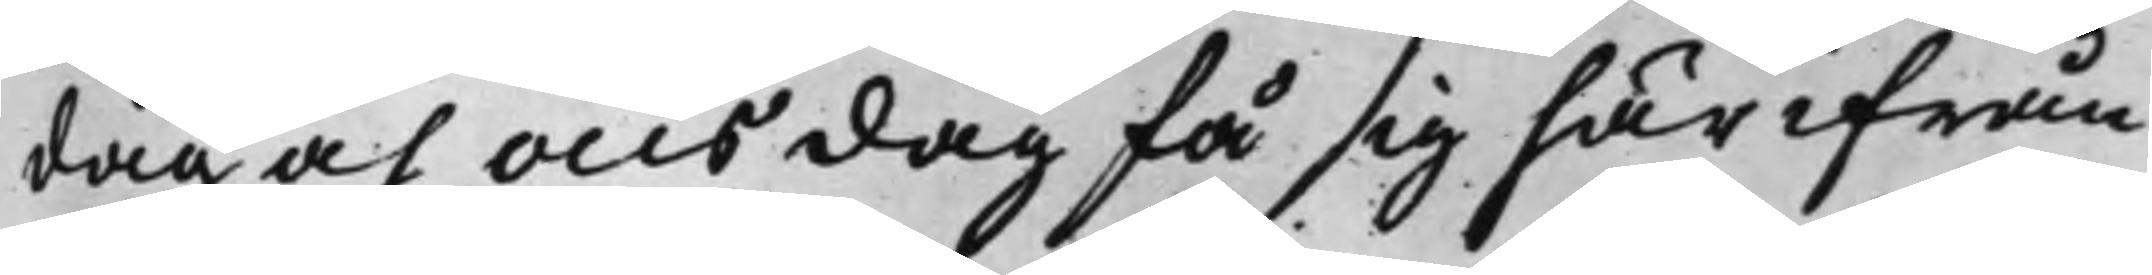dag och onsdag få sig här ifrån
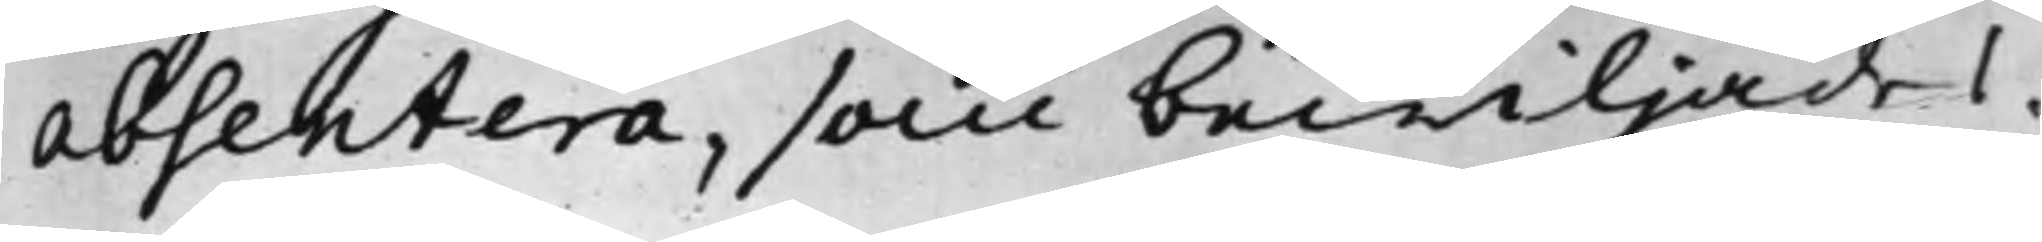absentera, som bewiljades.
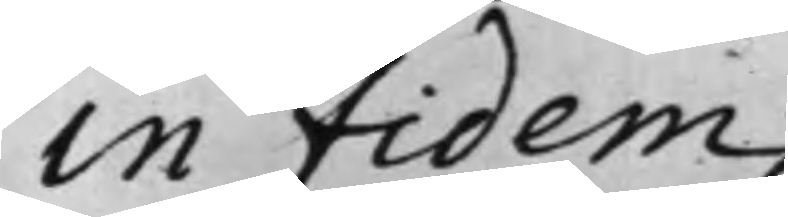In Fidem
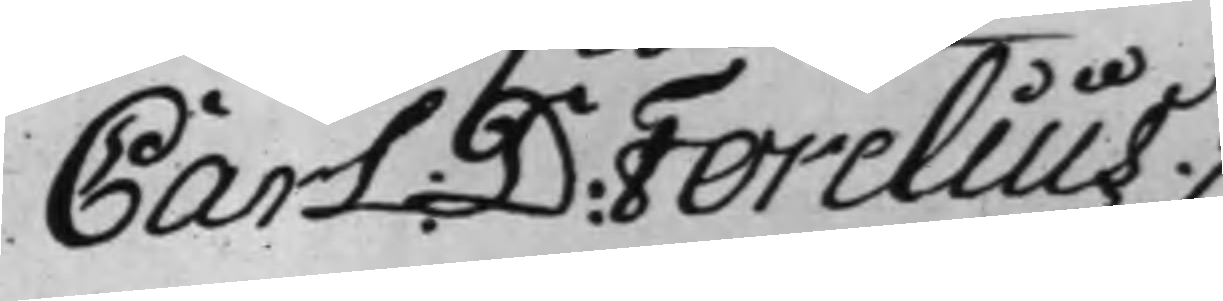Carl D: Forelius
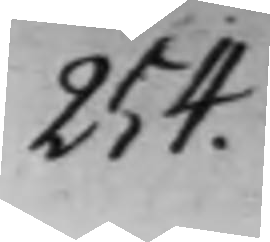254.
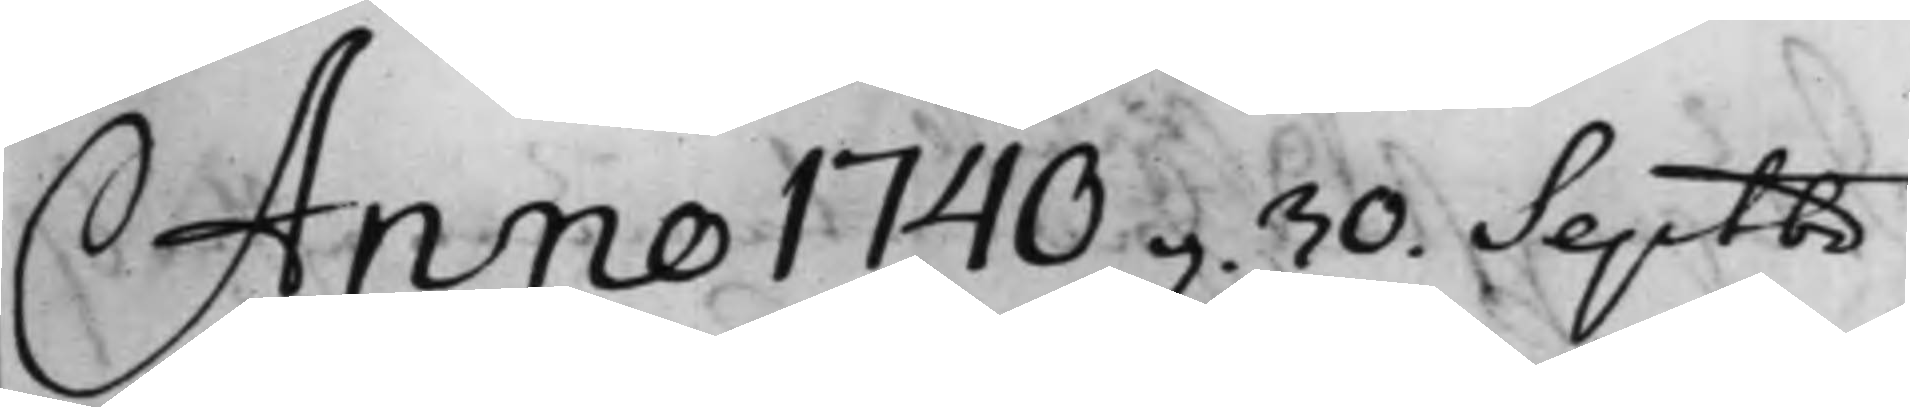Anno 1740 d. 30. Septbr
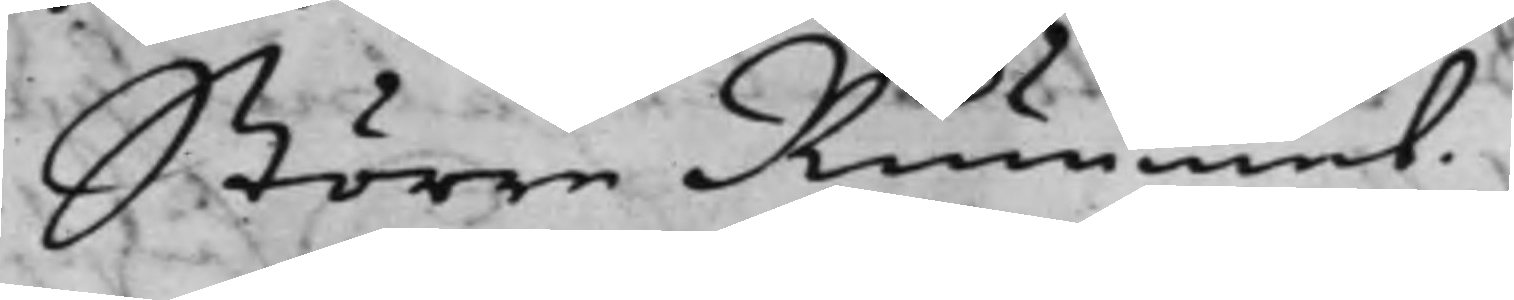Större Rummet.
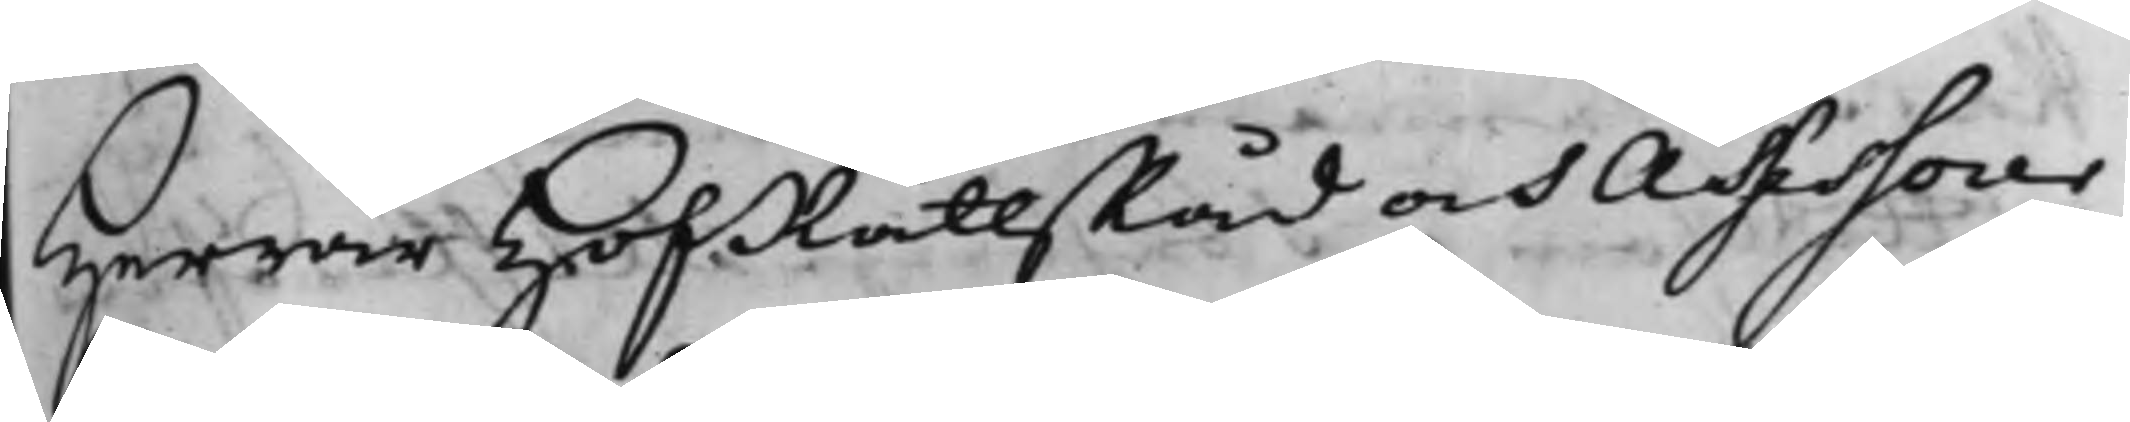Herrar HofRättsRåd och Assessorer
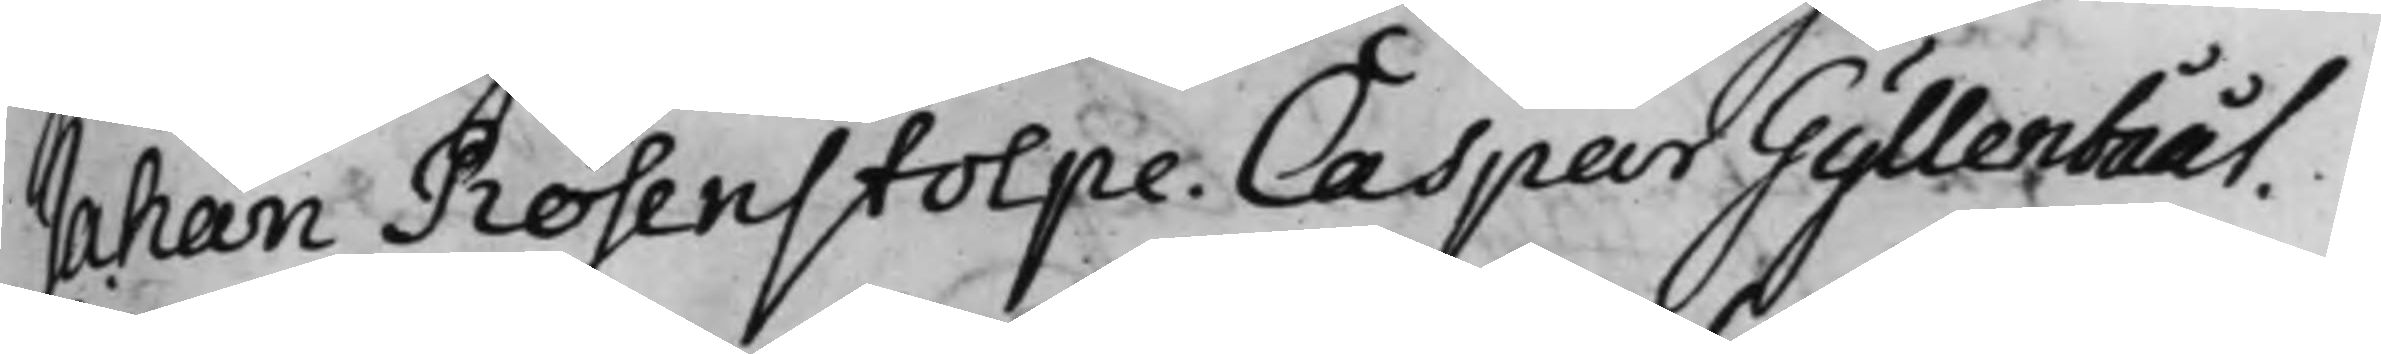Johan Rosenstolpe. Caspar Gyllenbååt.
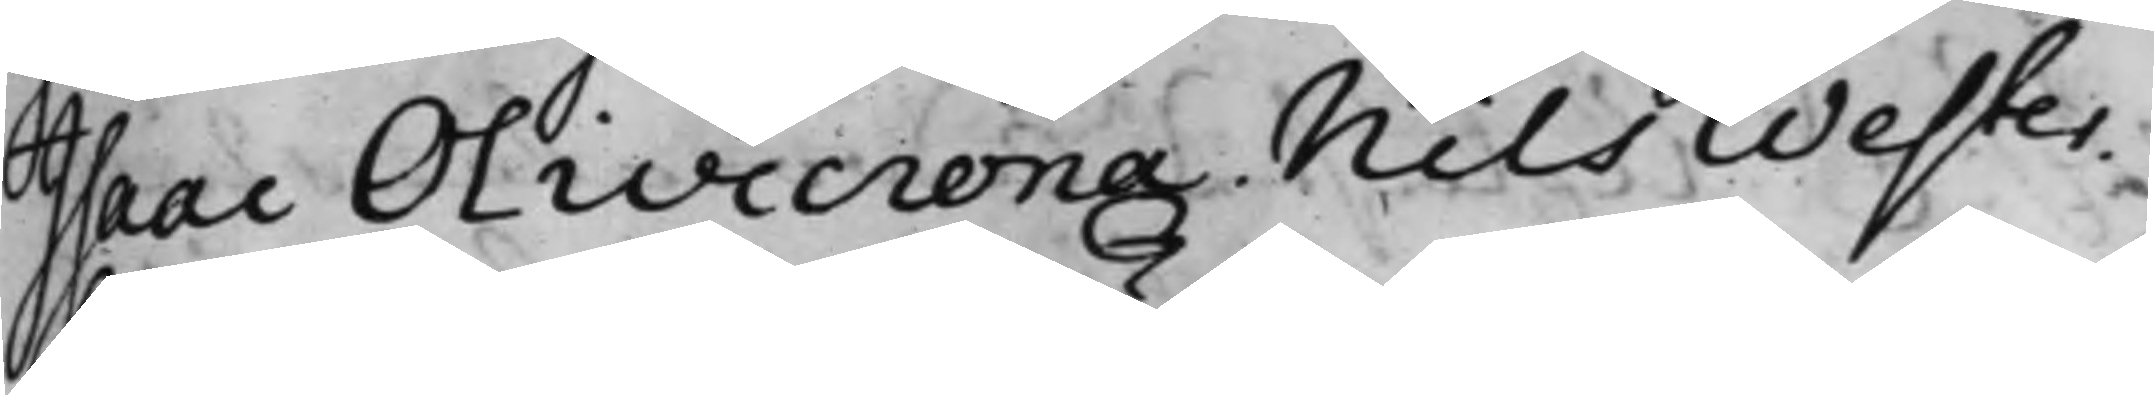Isaac Olivecrona, Nils Wester.
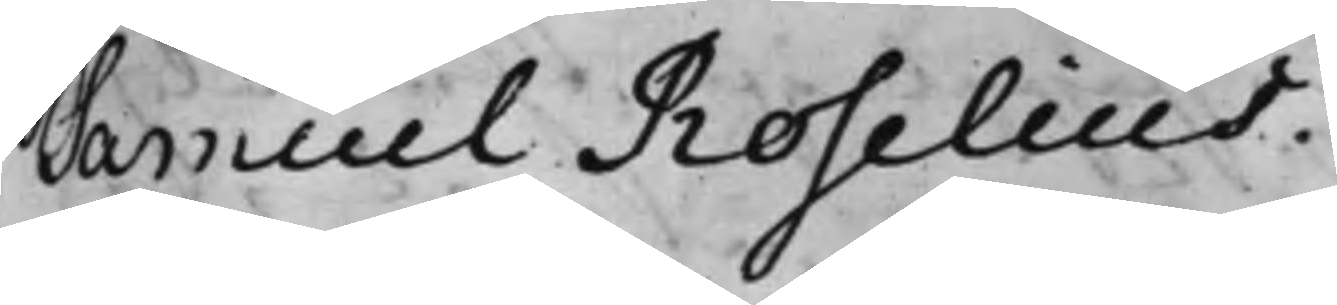Samuel Roselius.
